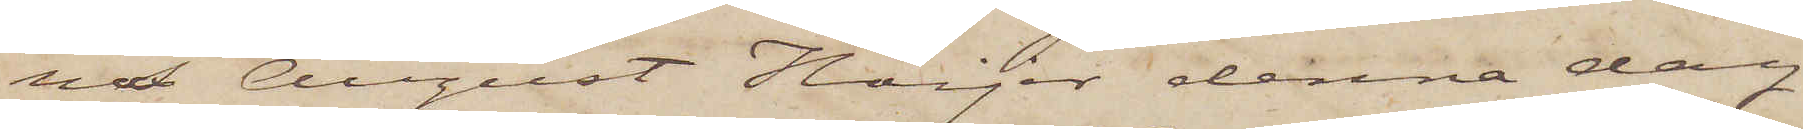na August Höijer denna dag
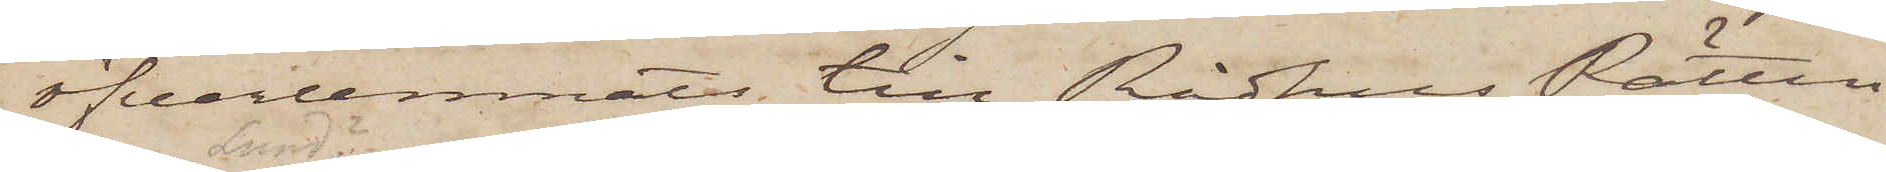öfverlemnats till Rådhus Rätten
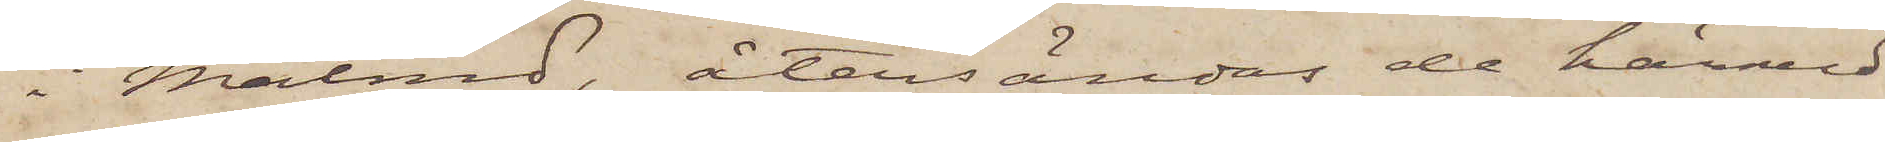i Malmö, återsändas de härmed
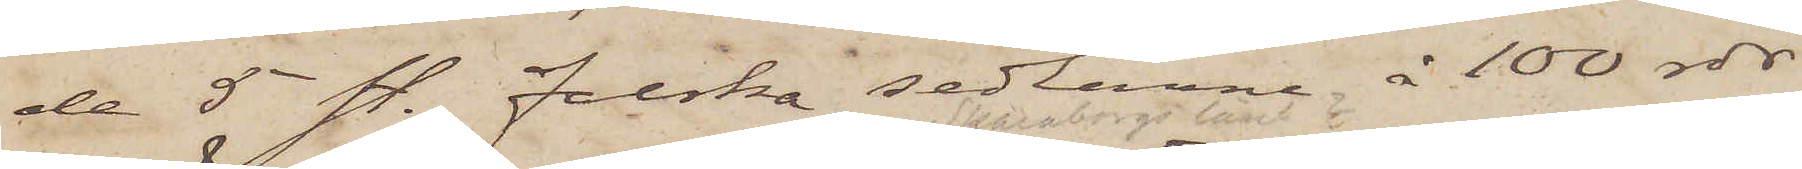de 5 st. falska sedlarne å 100 rdr
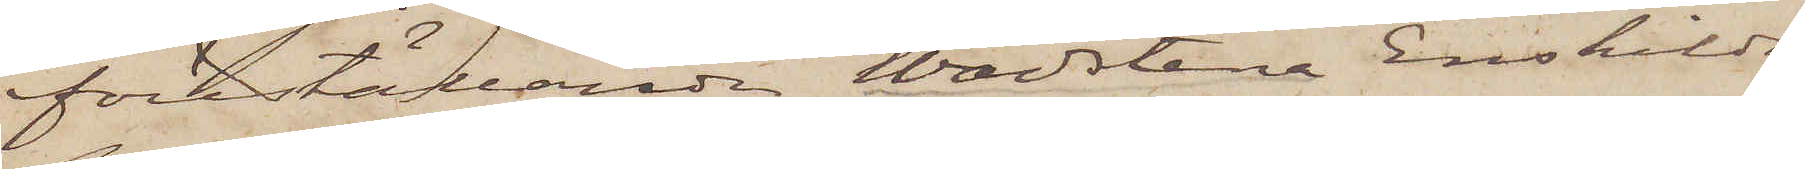föreställande Wadstena Enskilda
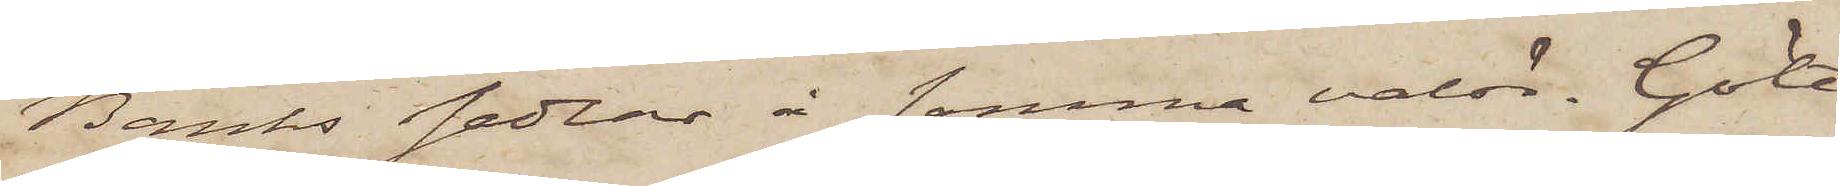Banks sedlar å samma valör. Göte¬
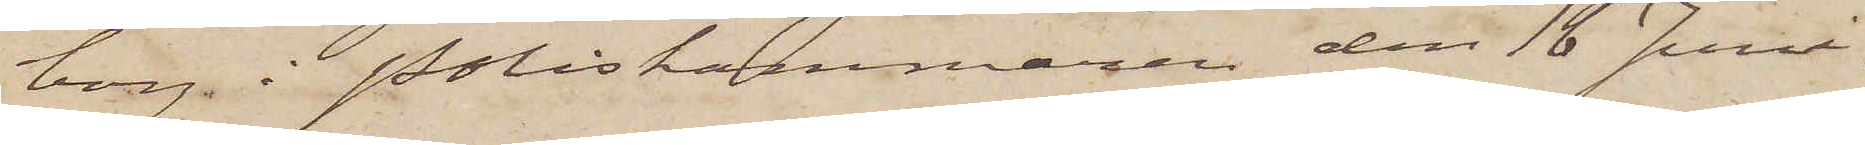borg i Poliskammaren den 16 Juni
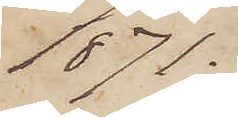1871.
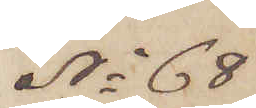No 68
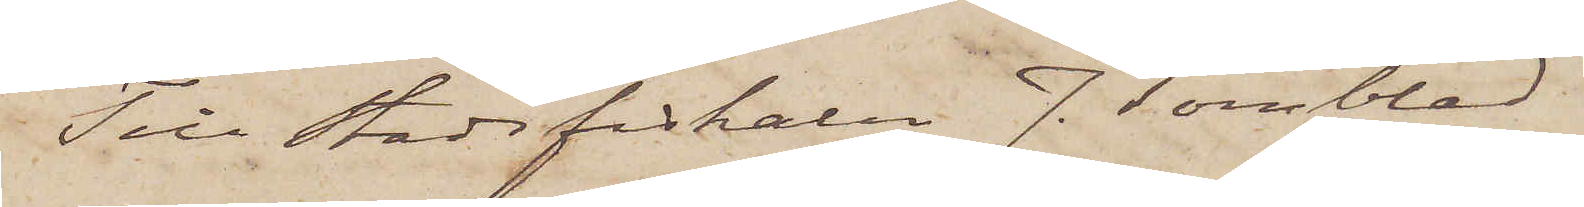Till Stadsfiskalen J. Törnblad.
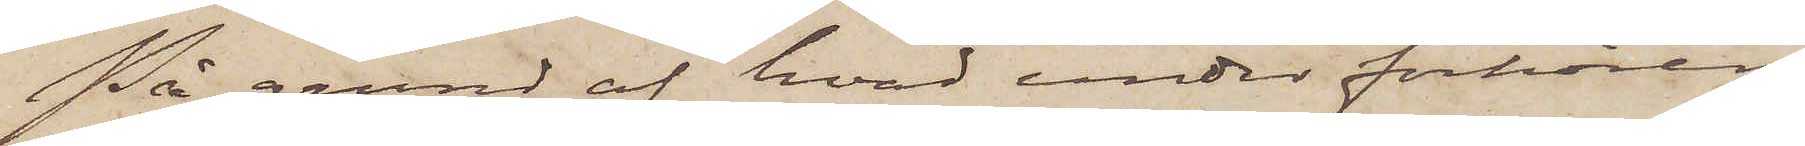På grund af hvad under förhören
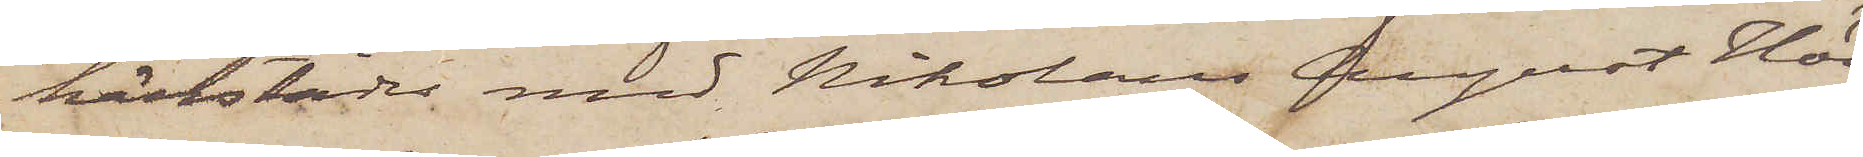härstädes med Nikolan August Höi¬
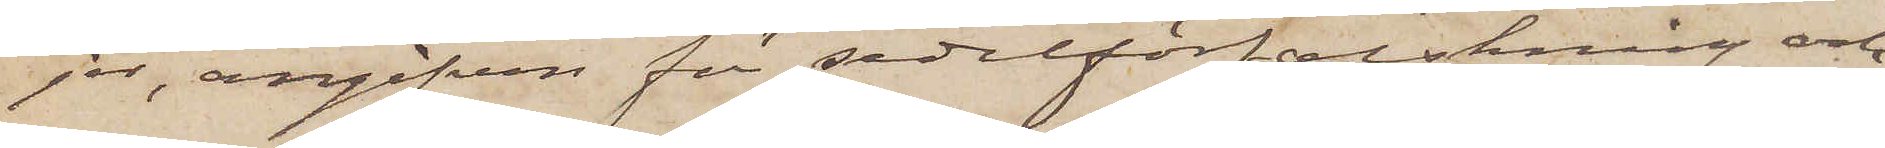jer, angifven för sedelförfalskning och
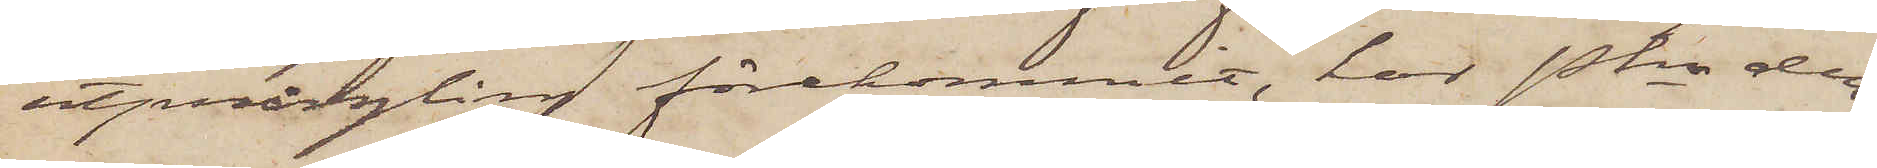utprångling förekommit, har Pkn den¬
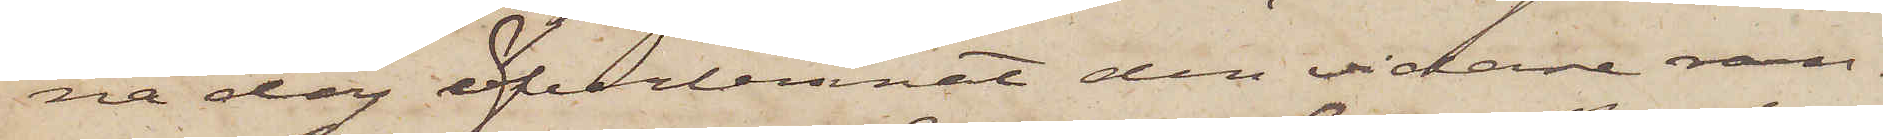na dag öfverlemnat den vidare ran¬
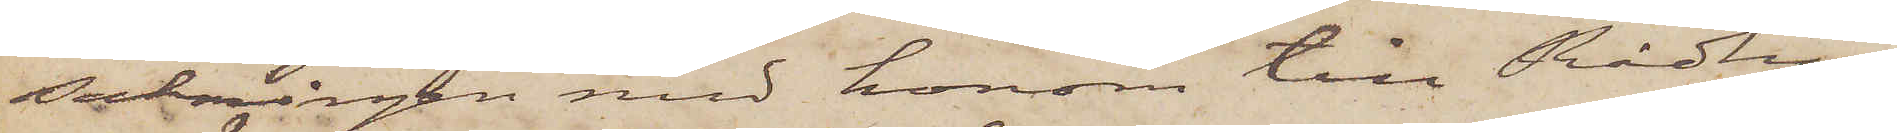sakningen med honom till Rådhus¬
